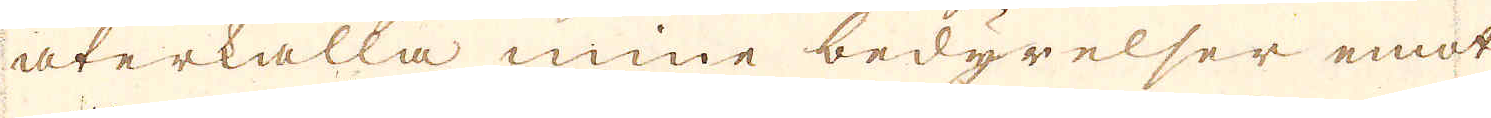återkalla mine bedyrelser emot
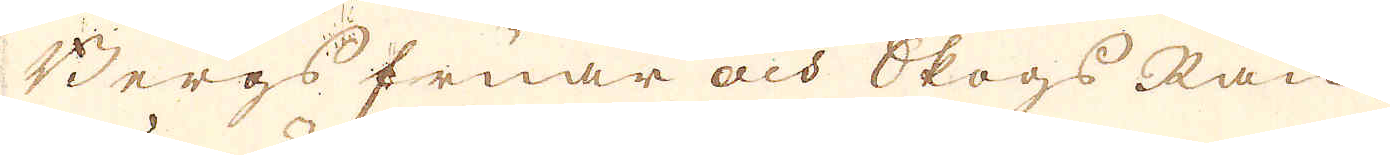Bergs fruar och Skogs Rån,
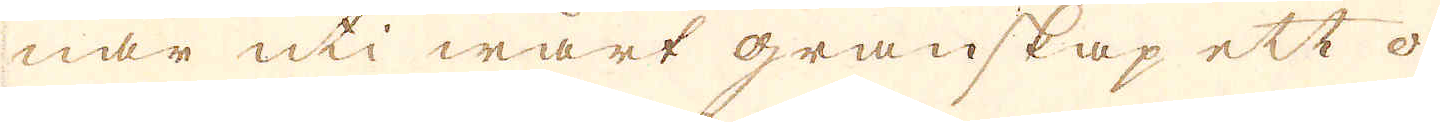när uti wårt granskap ett o-
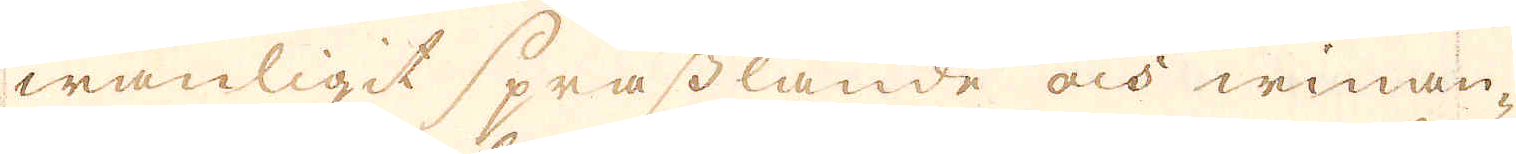wanligit sprasslande och winan-
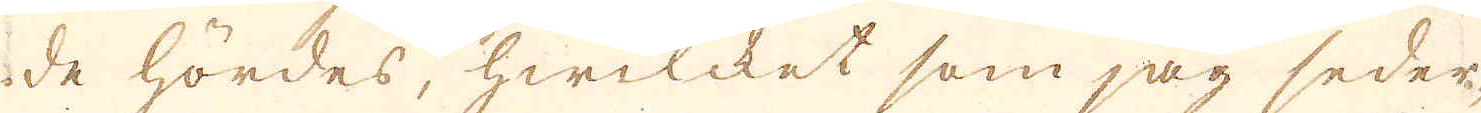de hördes, hwilcket som jag seder-
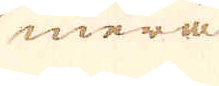mera
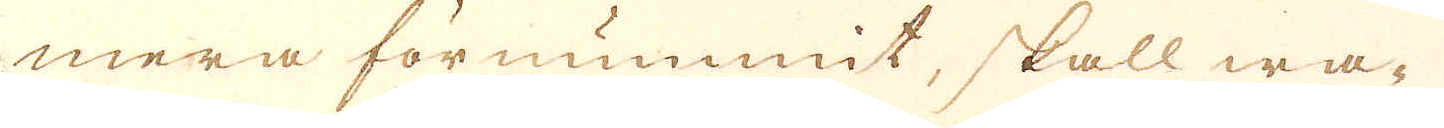mera förnummit, skall wa-
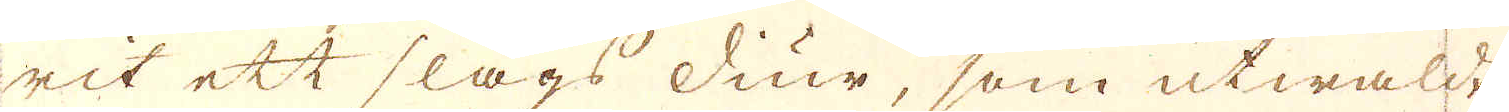rit ett slags diur, som utwaldt
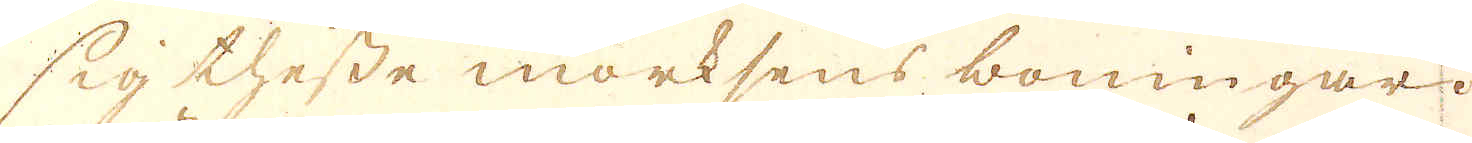sig thesse mörksens boningar.
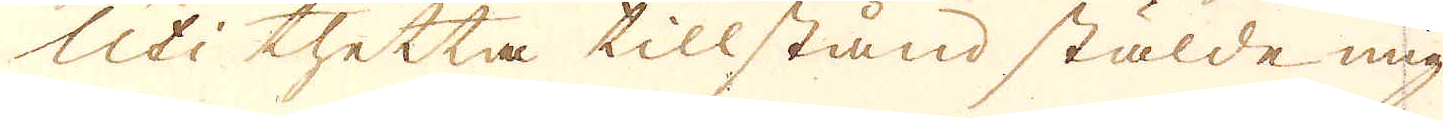Uti thetta tillstånd stälde mig
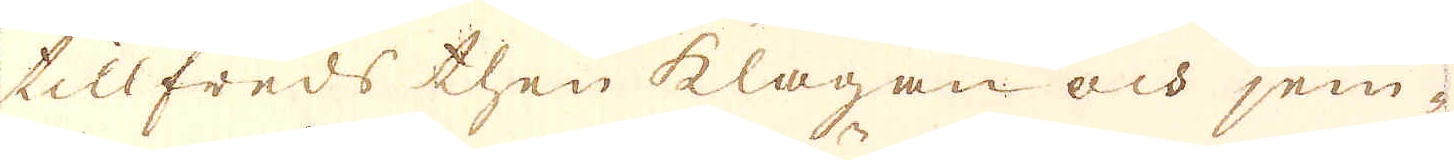tillfreds then klagan och jem-
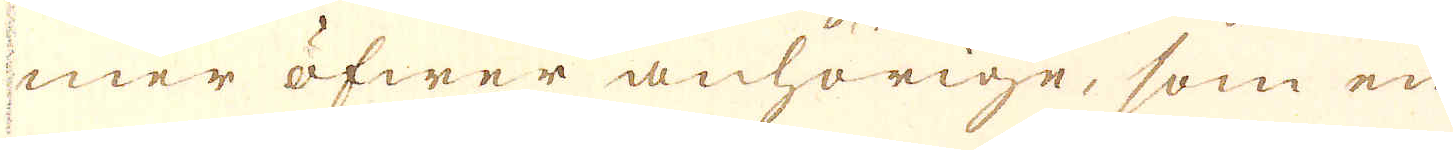mer öfwer anhörige, som en
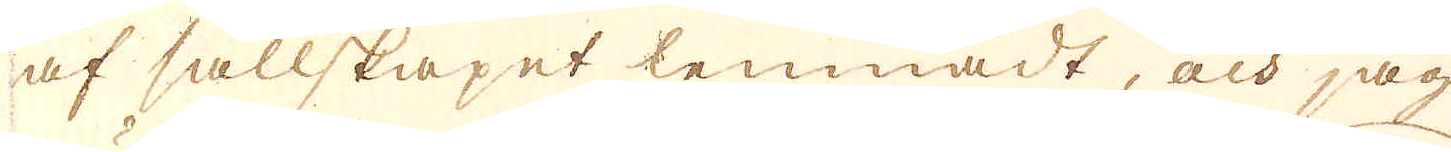af sällskapet lemnadt, och jag
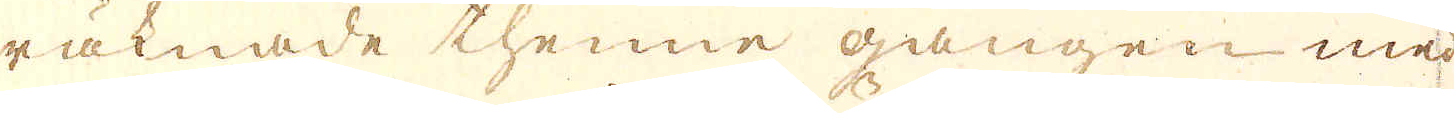räknade thenne gången med
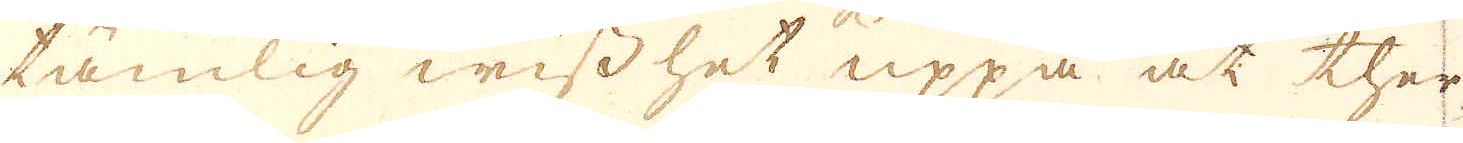tämlig wisshet uppå, at ther
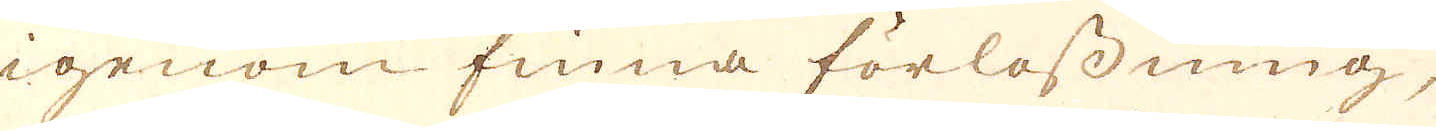igenom finna förlossning,
